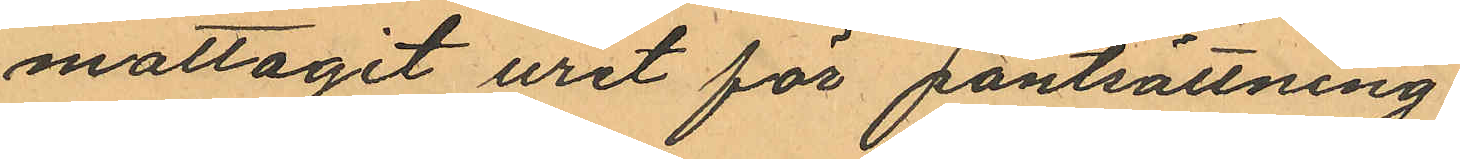mottagit uret för pantsättning.
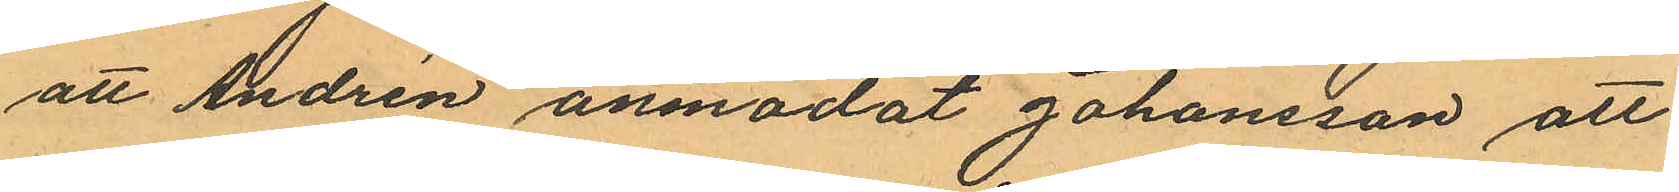att Andrén anmodat Johansson att
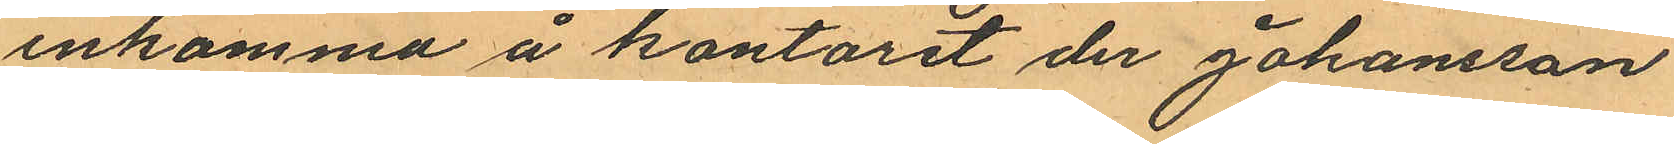inkomma å kontoret der Johansson
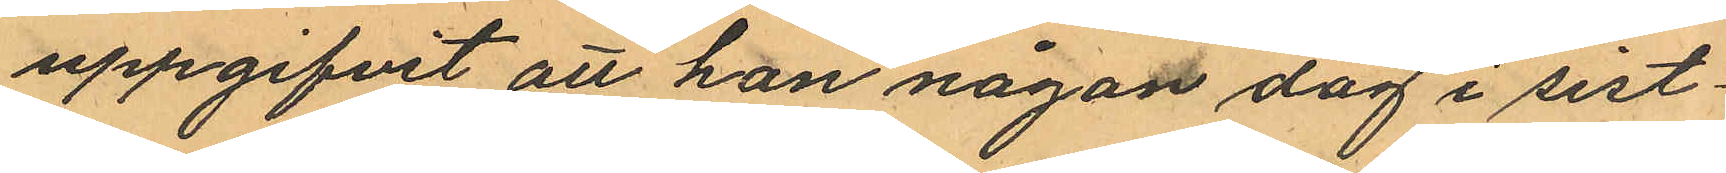uppgifvit att han någon dag i sist¬
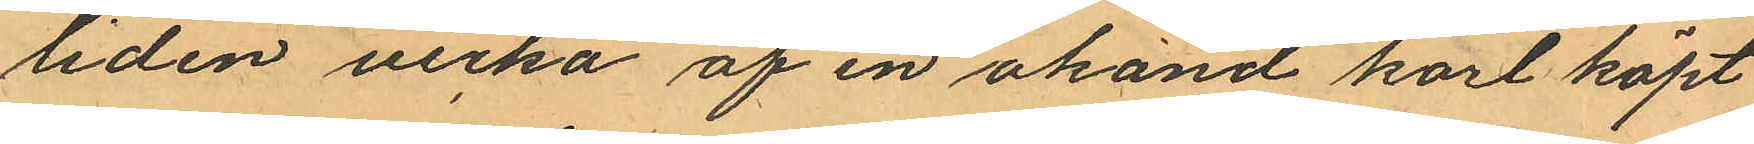liden vecka af en okänd karl köpt
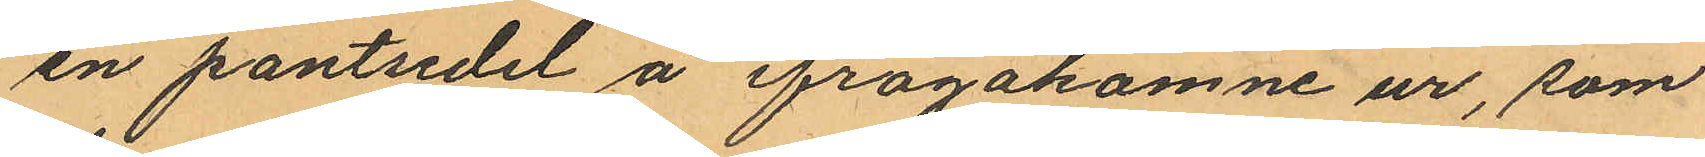en pantsedel å ifrågakomne ur, som
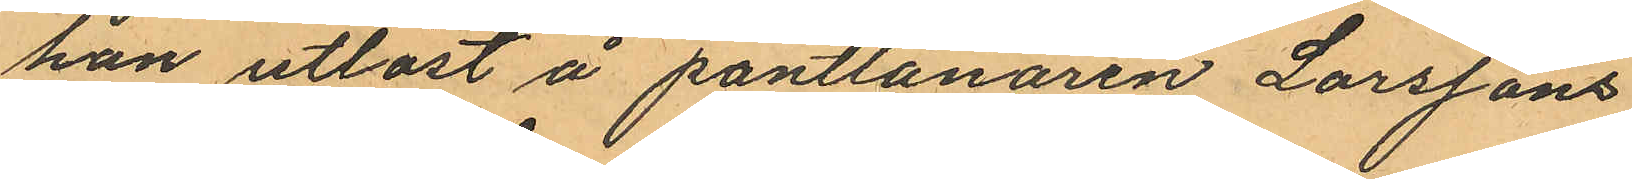han utlöst å pantlånaren Larssons
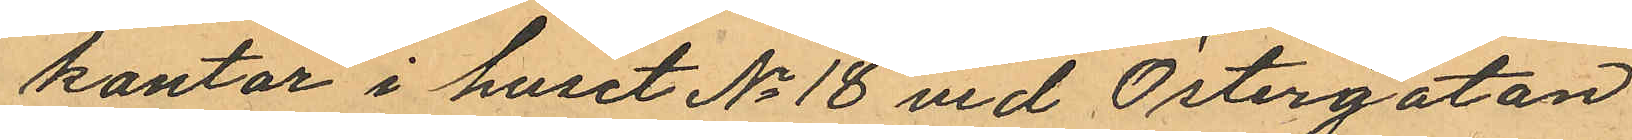kontor i huset No 18 vid Östergatan
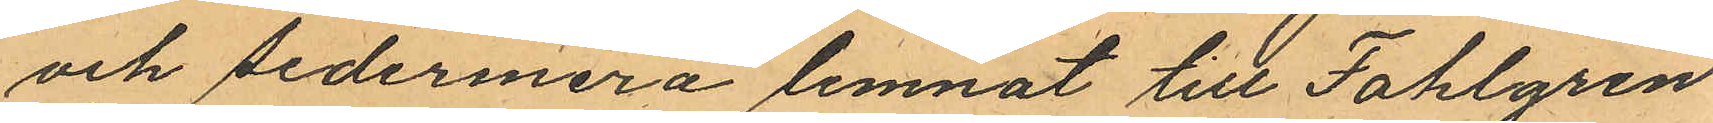och sedermera lemnat till Fahlgren
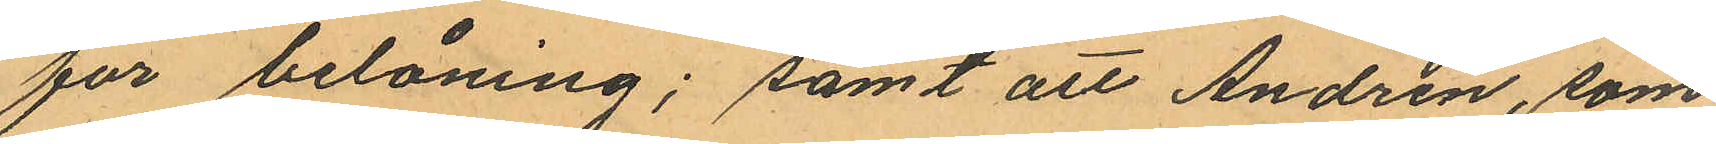för belåning; samt att Andrén, som
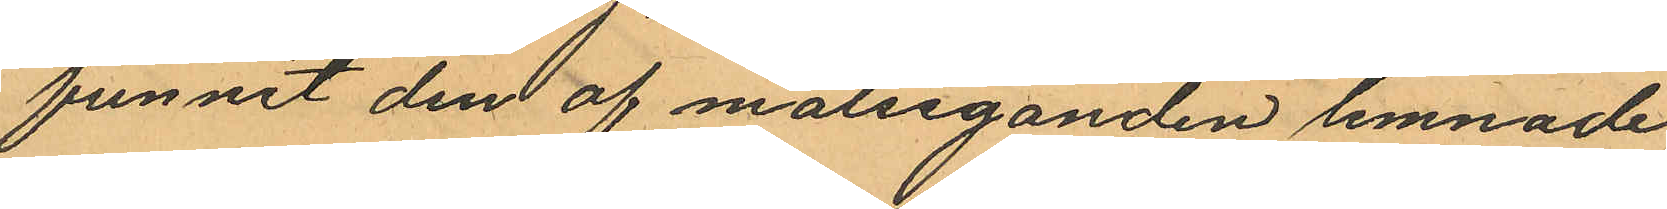funnit dem af målseganden lemnade
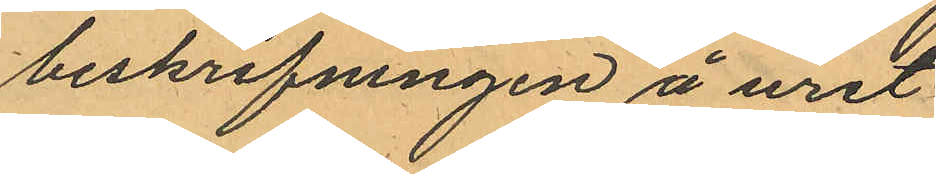beskrifningen å uret
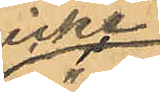icke
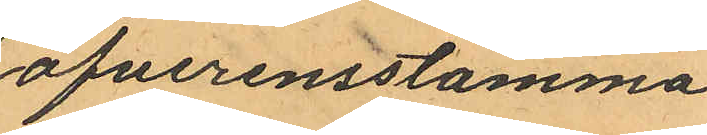öfverensstämma
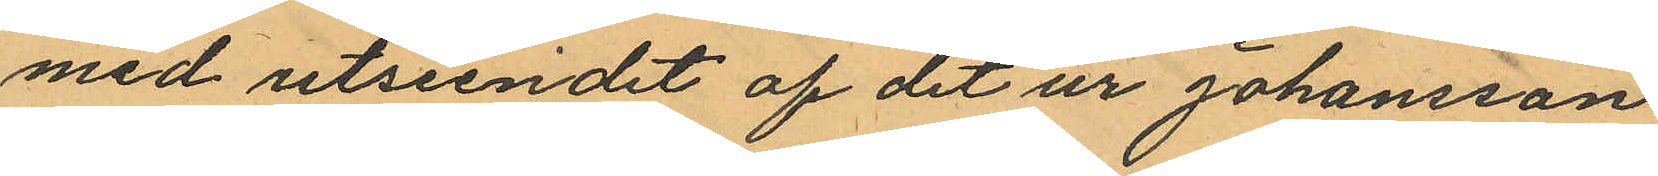med utseendet af det ur Johansson
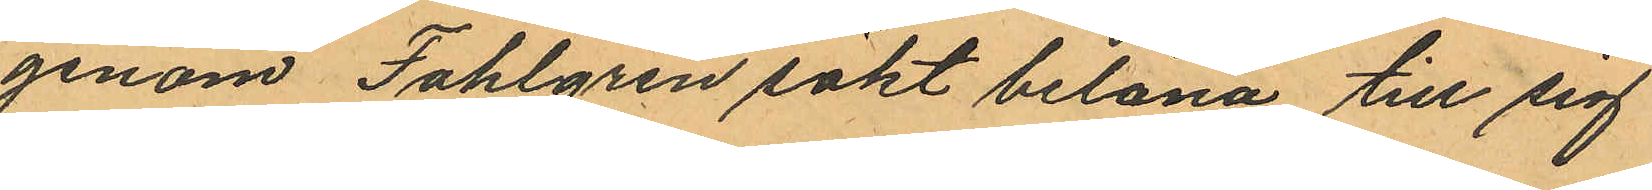genom Fahlgren sökt belåna till sig
